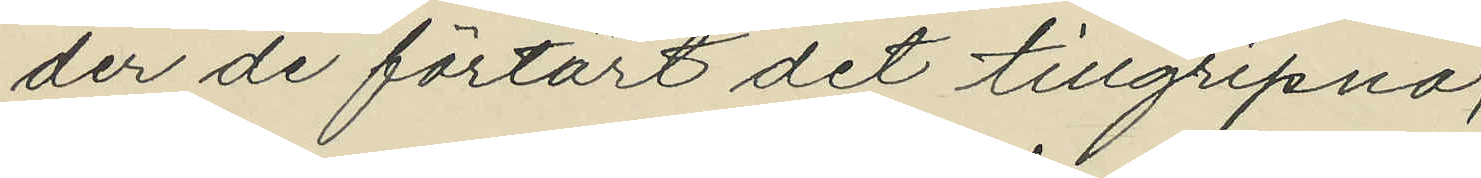der de förtärt det tillgripna;
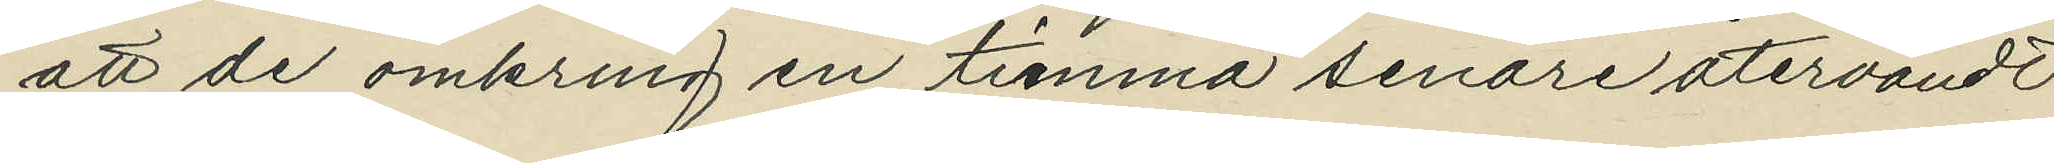att de omkring en timma senare återvändt
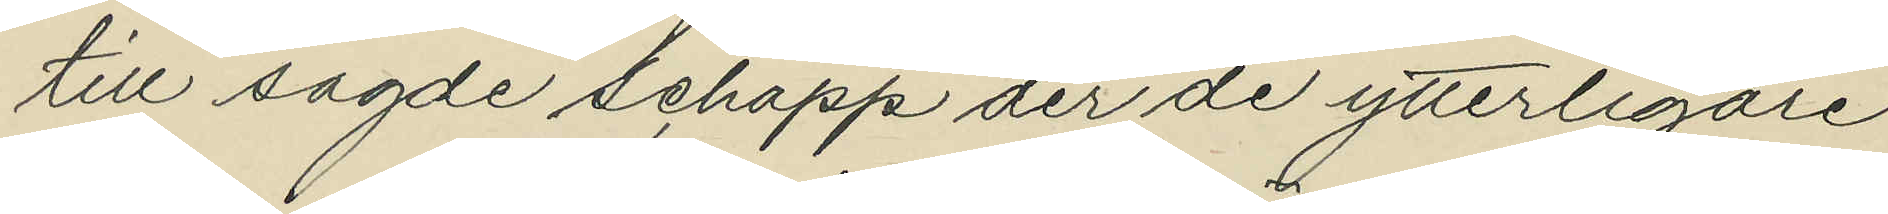till sagde schapp der de ytterligare
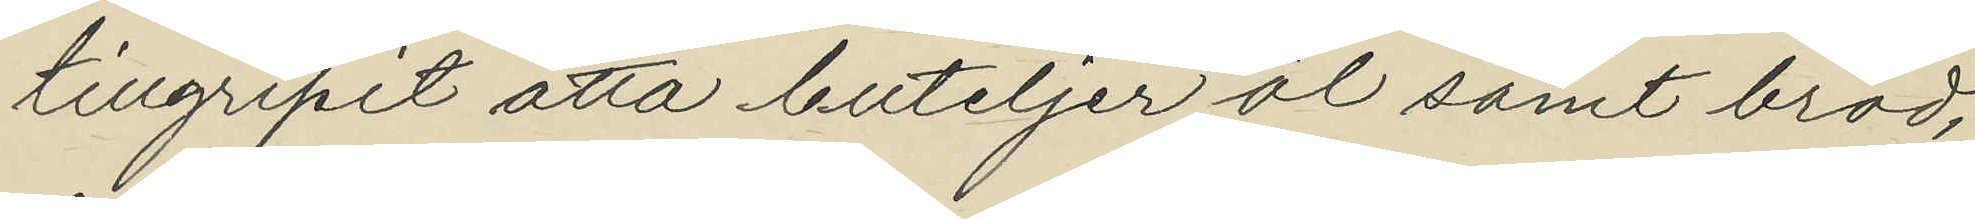tillgripit åtta buteljer öl samt bröd,
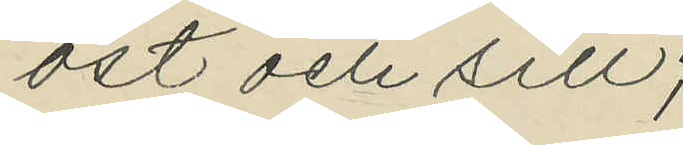ost och sill;
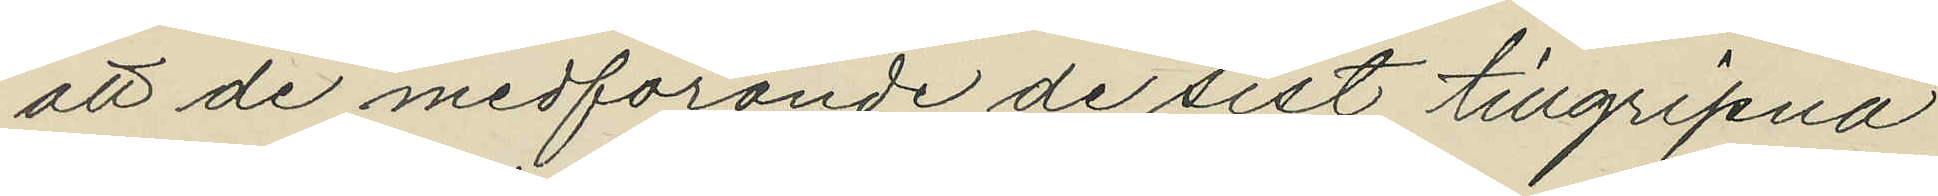att de medförande de sist tillgripna
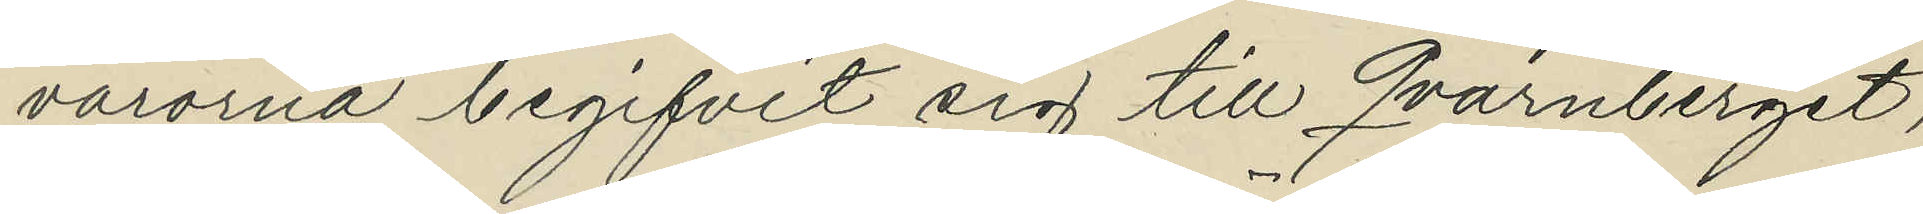varorna begifvit sig till Qvarnberget,
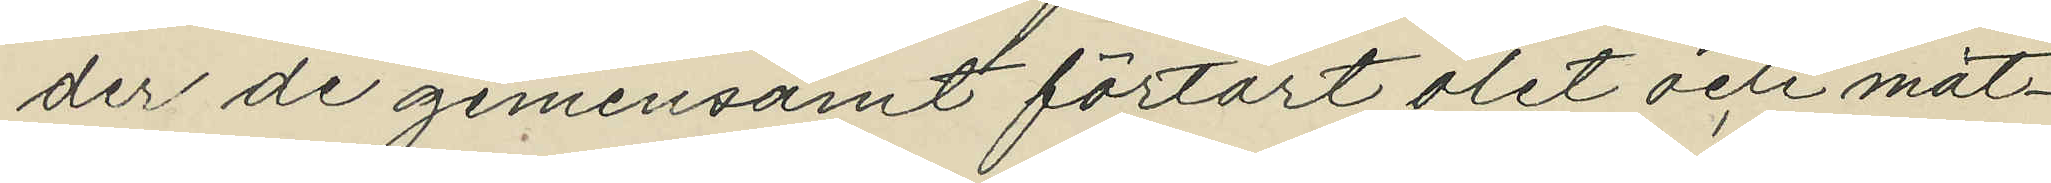der de gemensamt förtärt ölet och mat¬
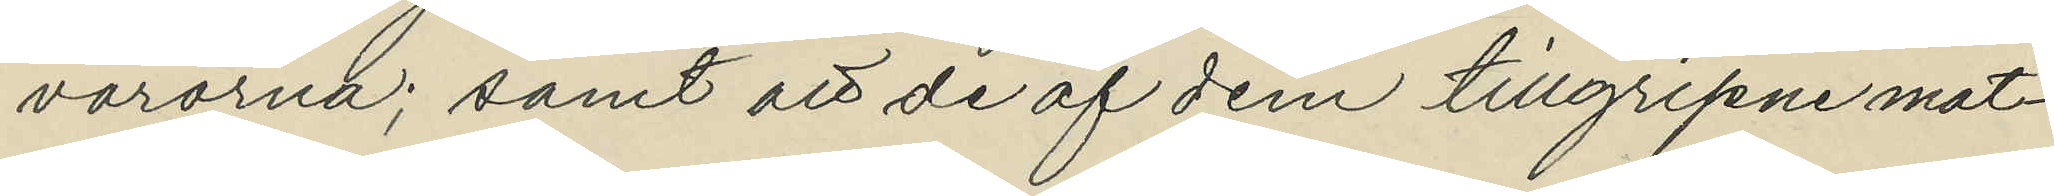varorna; samt att de af dem tillgripne mat¬
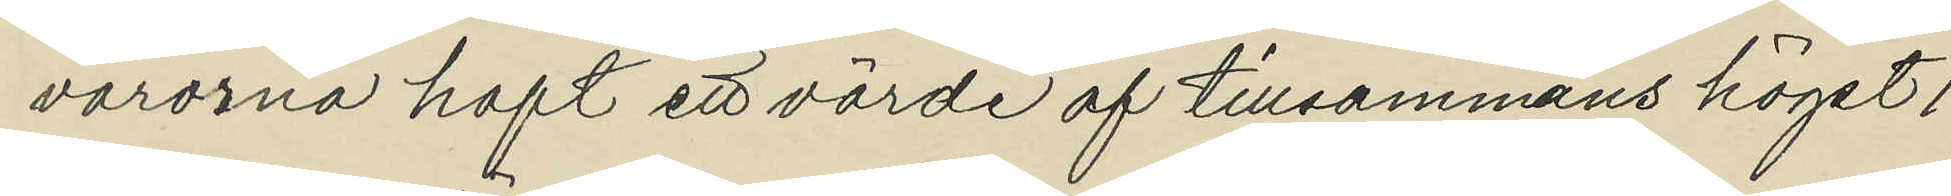varorna haft ett värde af tillsammans högst 1
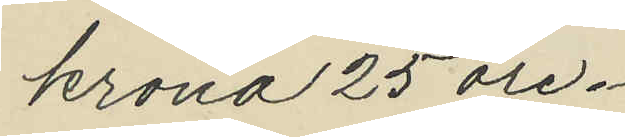krona 25 öre.
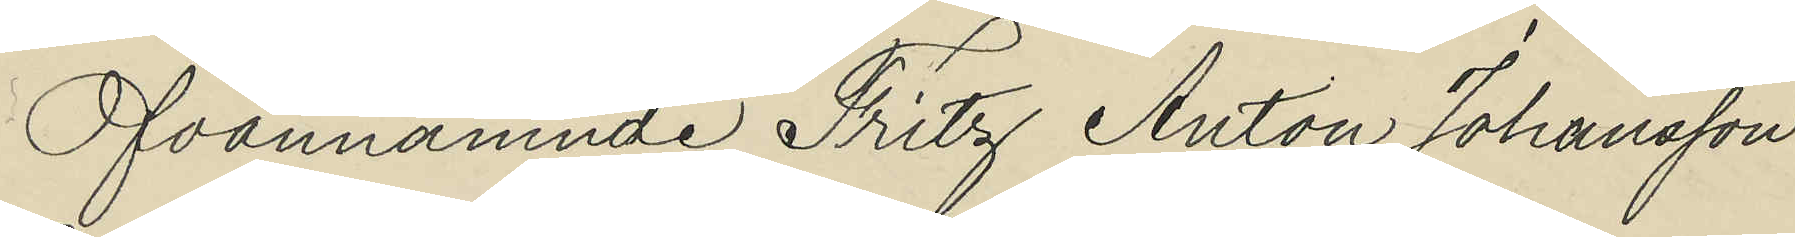Ofvannämnde Fritz Anton Johansson
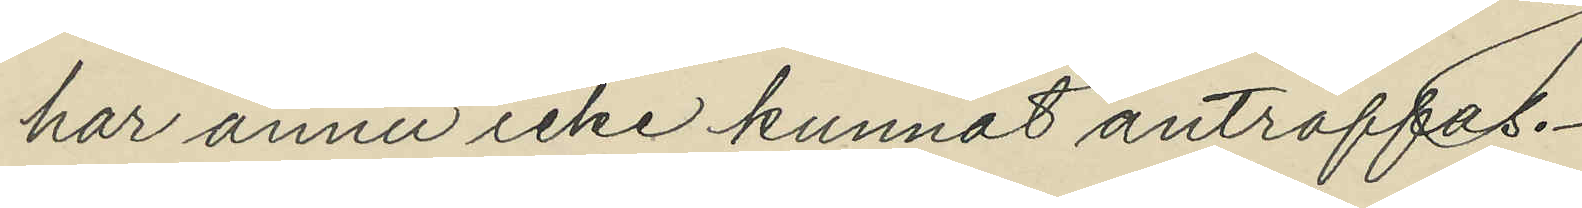har ännu icke kunnat anträffas.
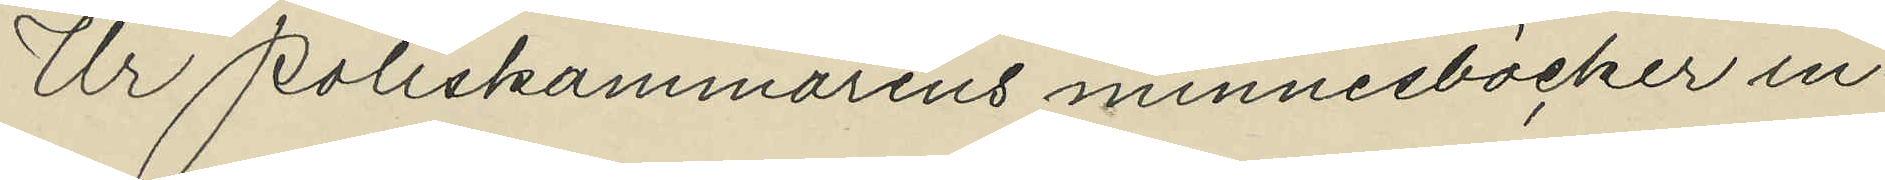Ur Poliskammarens minnesböcker in¬
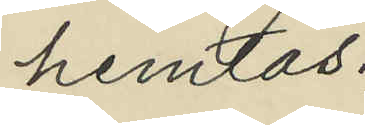hemtas:
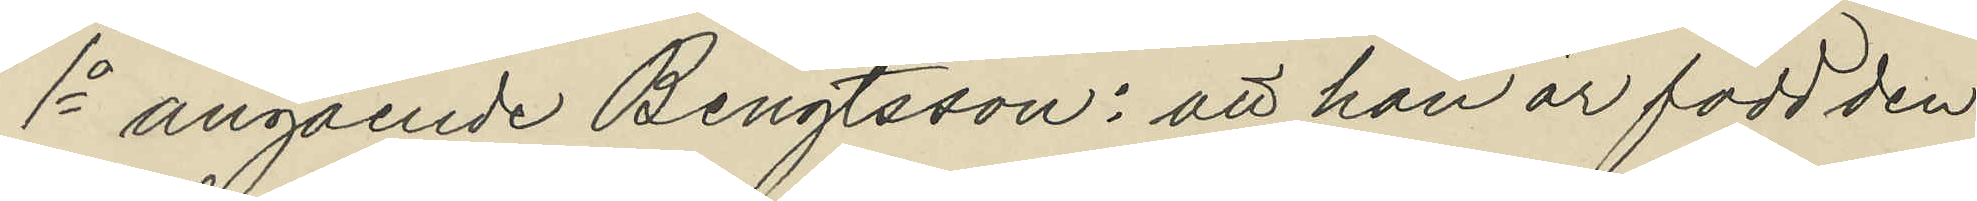1o angående Bengtsson: att han är född den 
